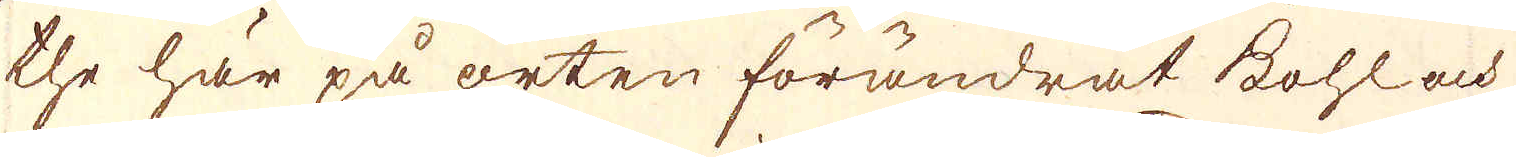the här på orten förändrat kohl och
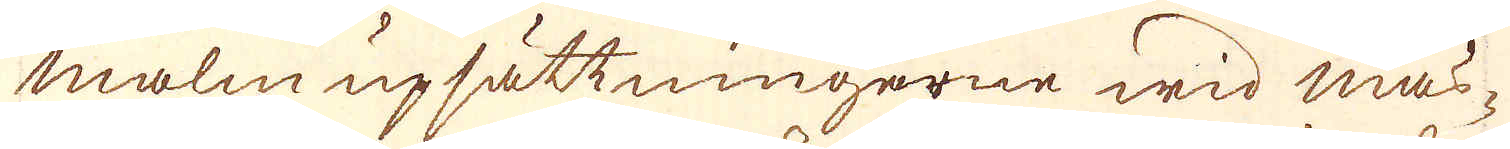malm upsättningarne wid mas-
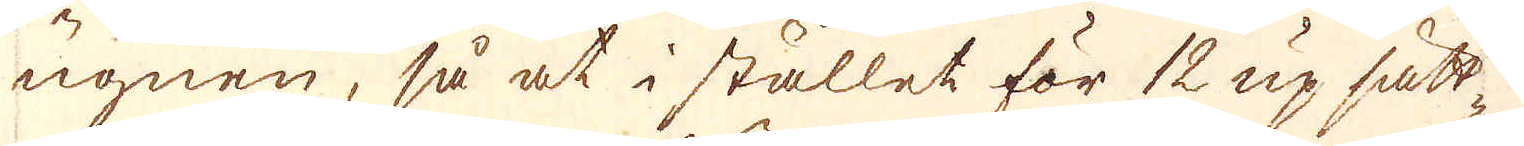ugnen, så at i stället för 12 up sätt-
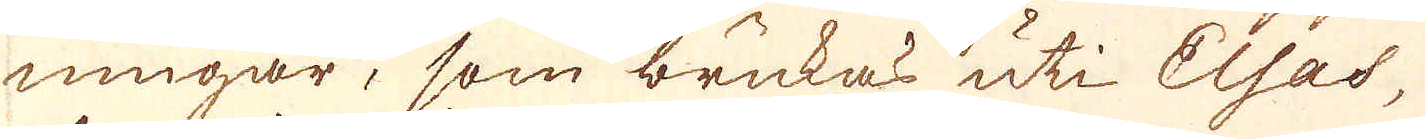ningar, som brukas uti Elsas,
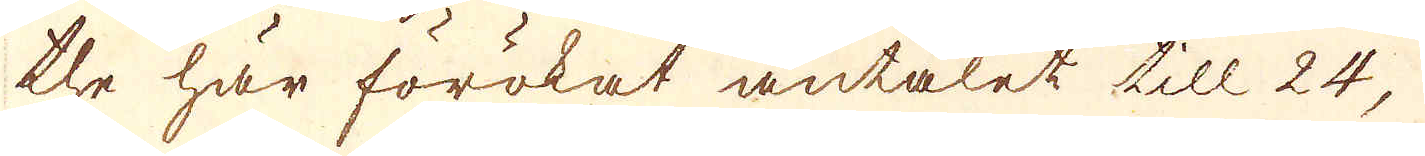the här förökat antalet till 24,
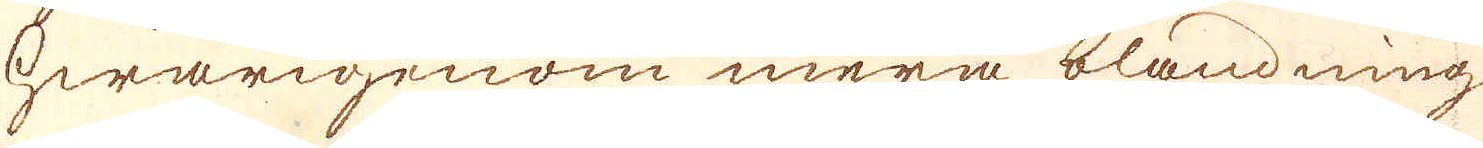hwarigenom mera blandning
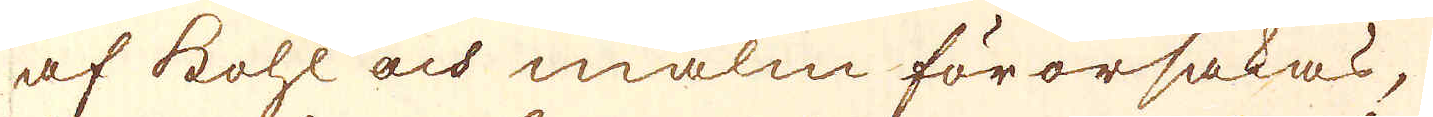af kohl och malm förorsakas,
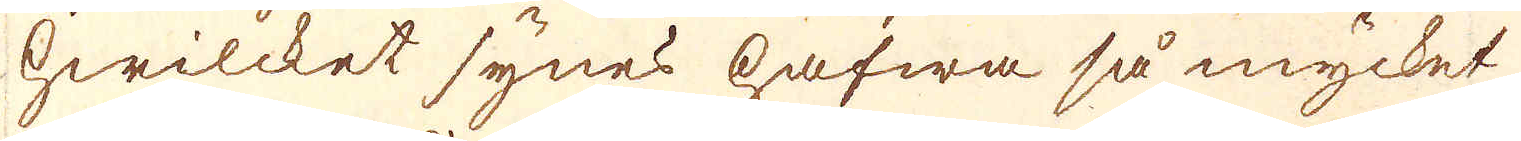hwilcket synes hafwa så mycket
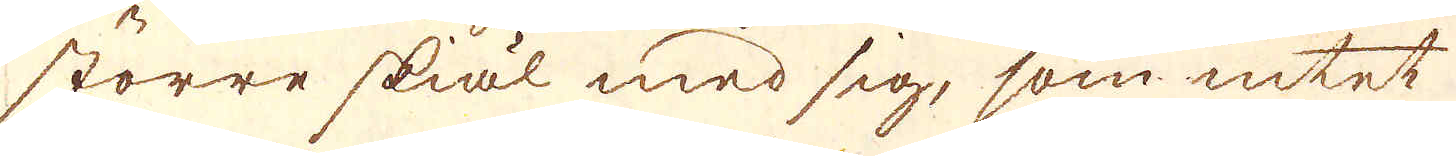större skiäl med sig, som intet
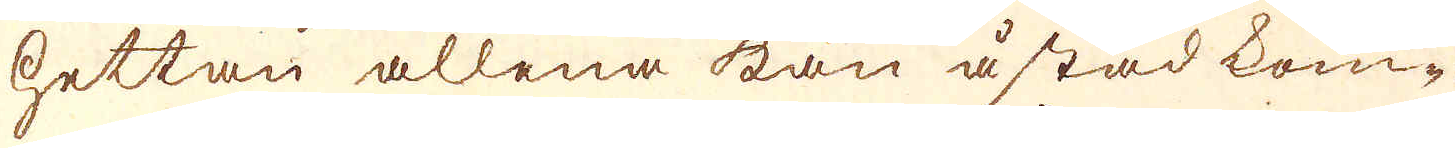hettan allena kan åstad kom-
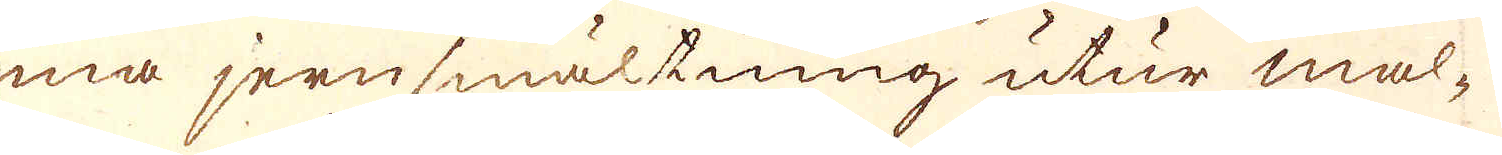ma jernsmältning utur mal-
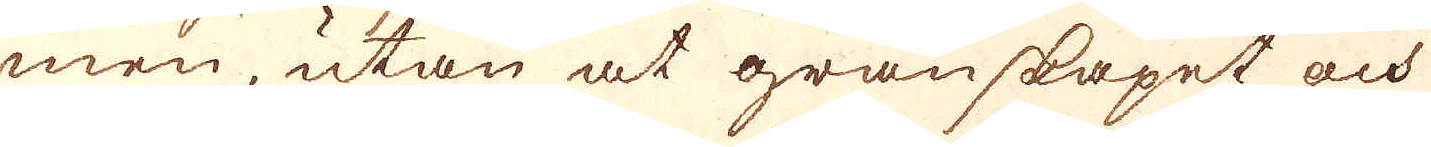men, utan at granskapet och
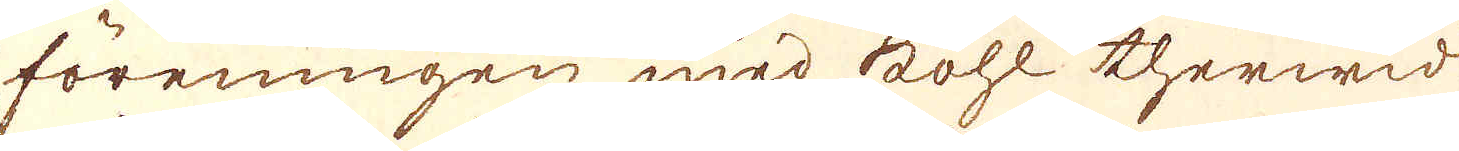föreningen med kohl therwid
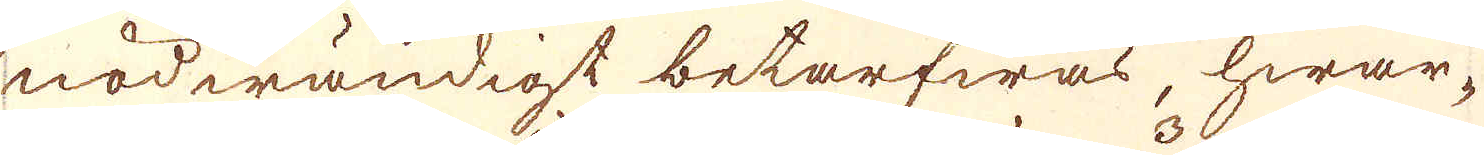nödwändigt betarfwas, hwar-
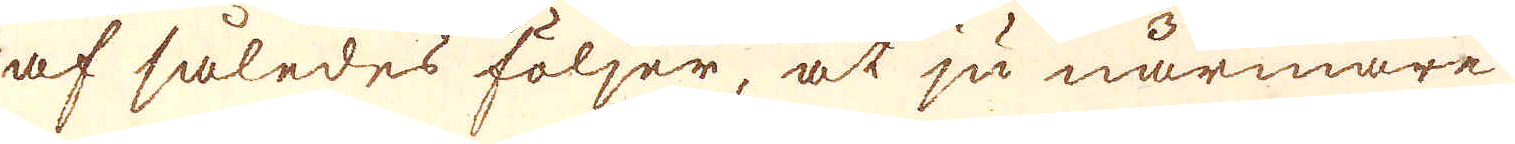af således följer, at ju närmare
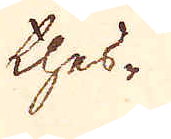thes-
